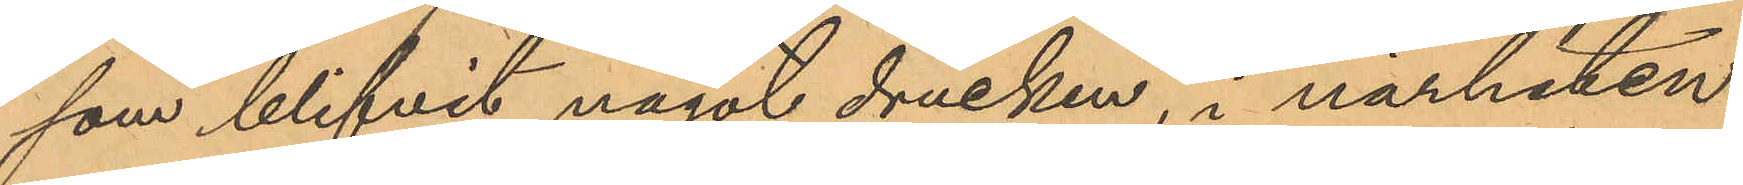som blifvit något drucken, i närheten
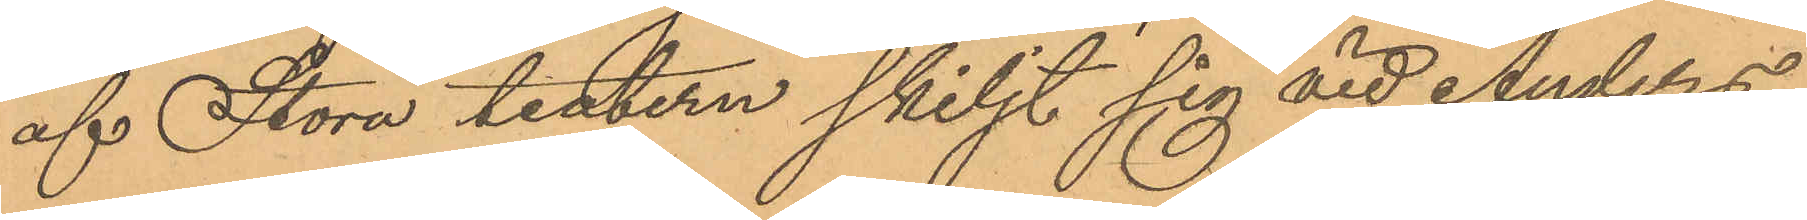af Stora teatern skiljt sig vid Anders¬
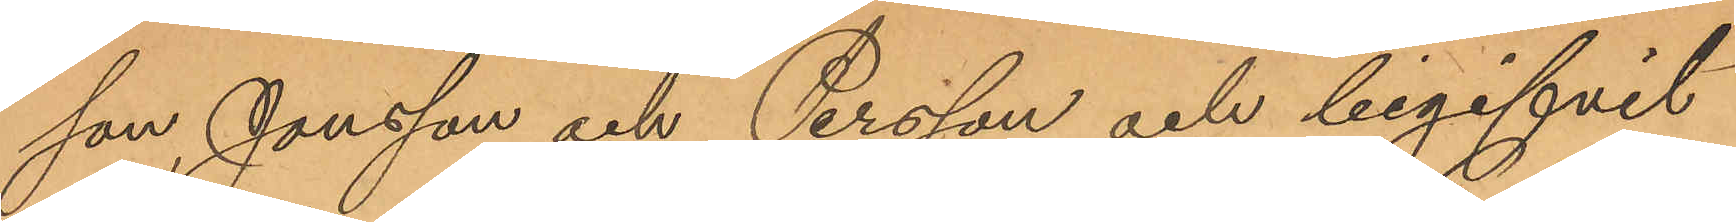son, Jonsson och Persson och begifvit
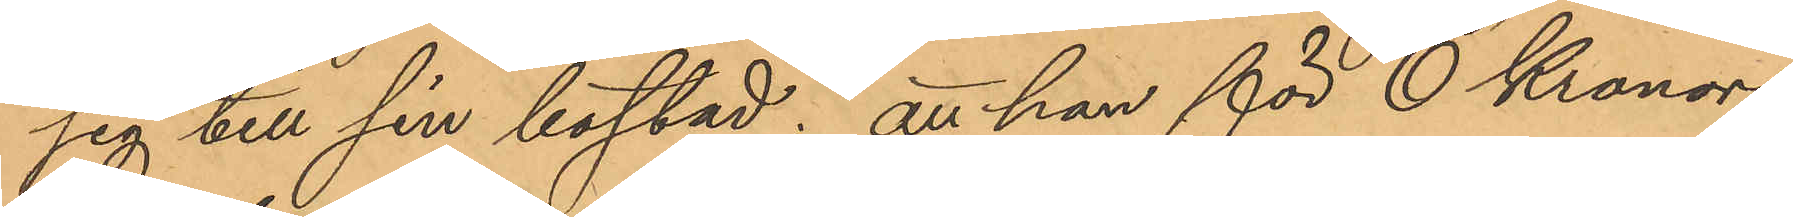sig till sin bostad; att han för 6 Kronor
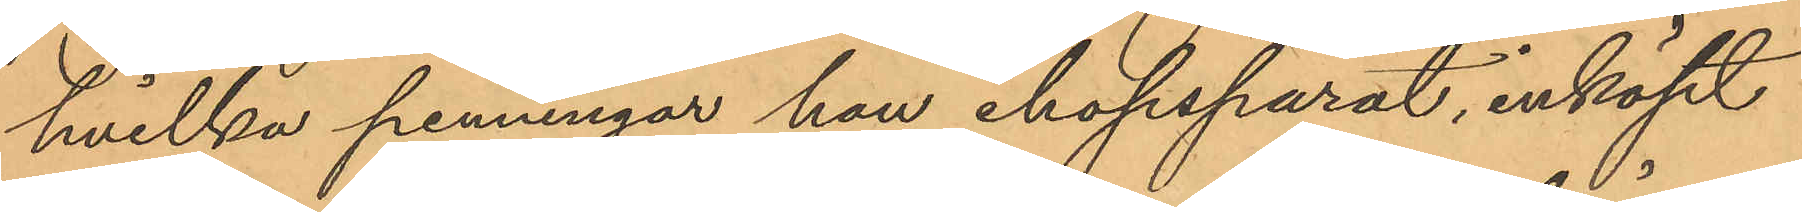hvilka penningar han ihopsparat, inköpt
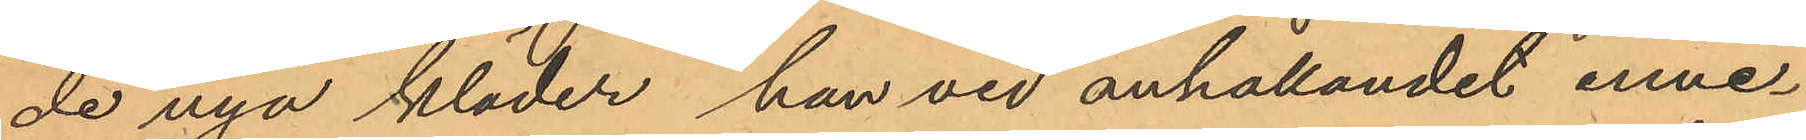de nya kläder han vid anhållandet inne¬
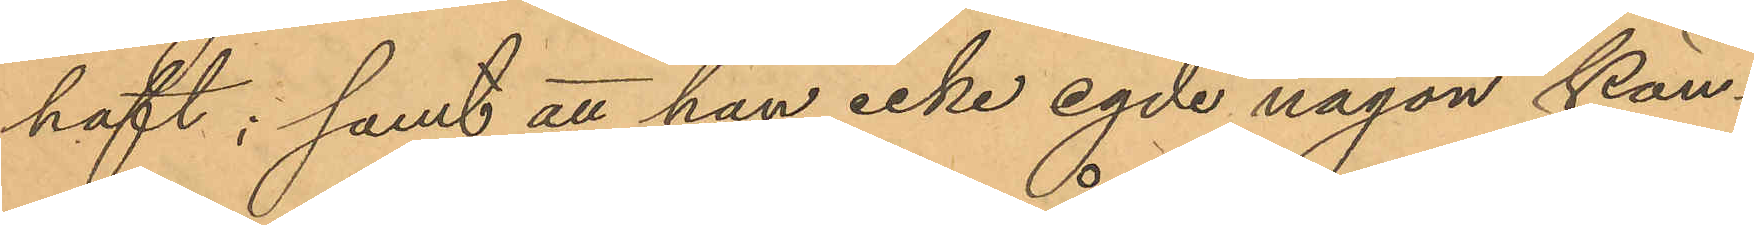haft; samt att han icke egde någon kän¬
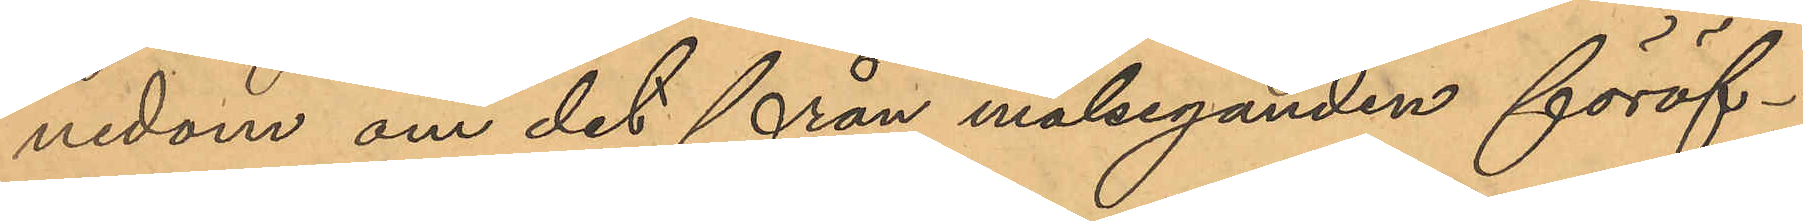nedom om det från målseganden föröf¬
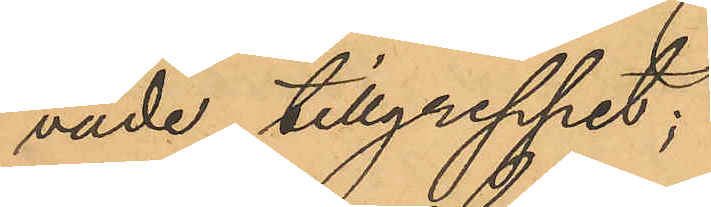vade tillgreppet;
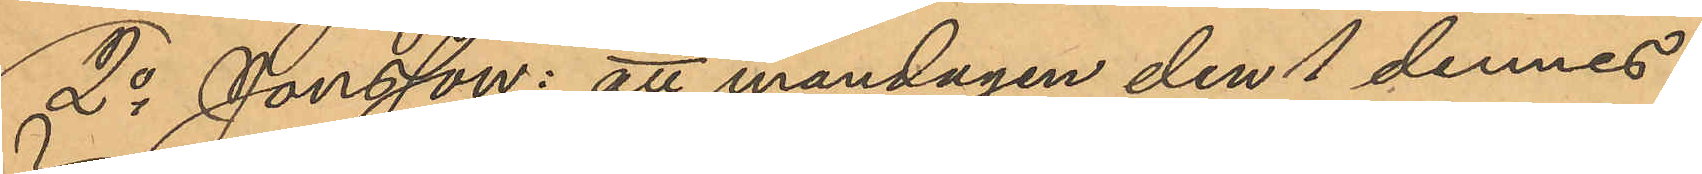2o Jonsson: att måndagen den 1 dennes
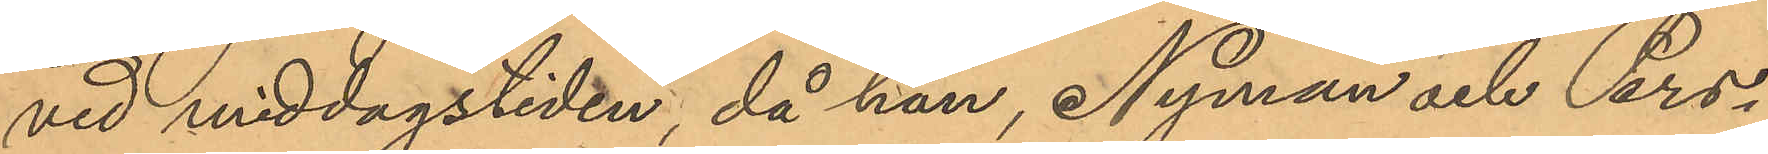vid middagstiden, då han, Nyman och Pers¬
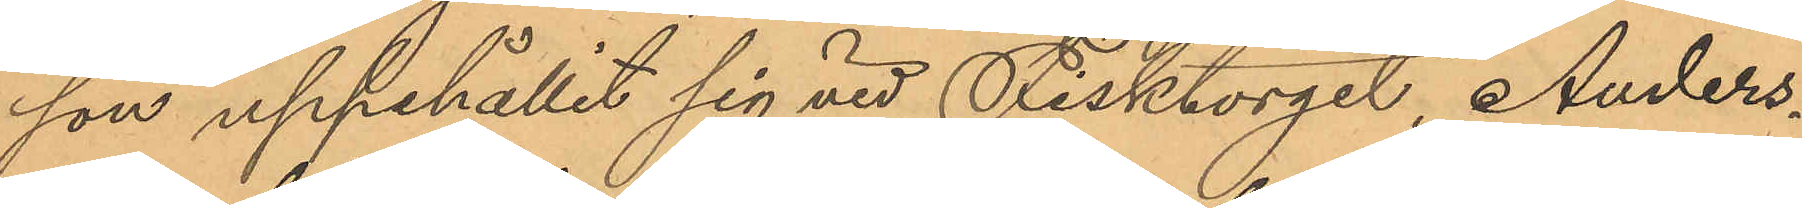son uppehållit sig vid Fisktorget, Anders¬
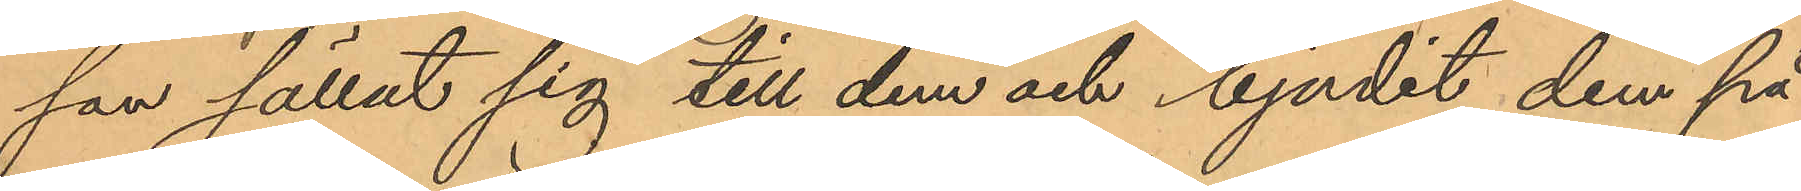son sällat sig till dem och bjudit dem på
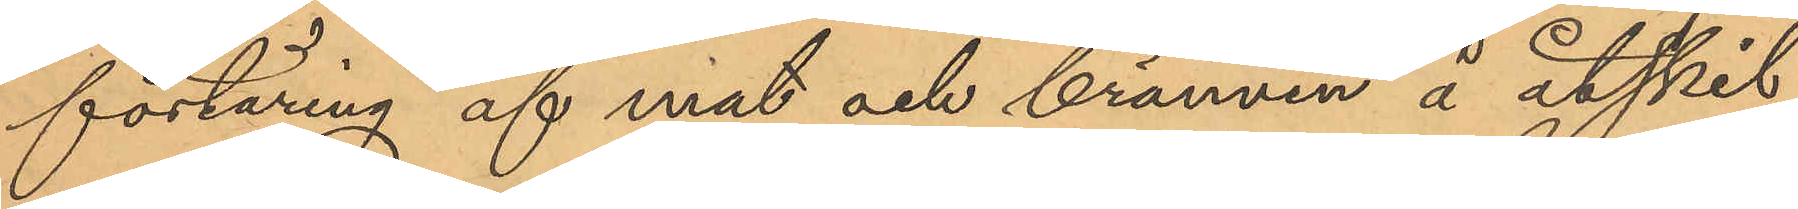förtäring af mat och brännvin å åtskil¬
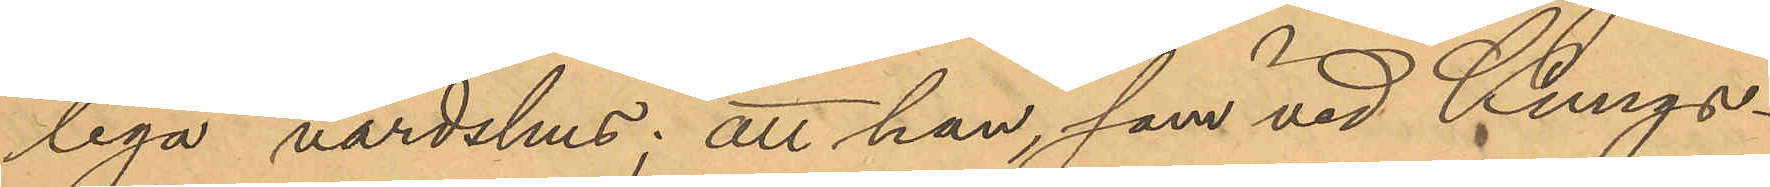liga värdshus; att han, som vid Kungs¬
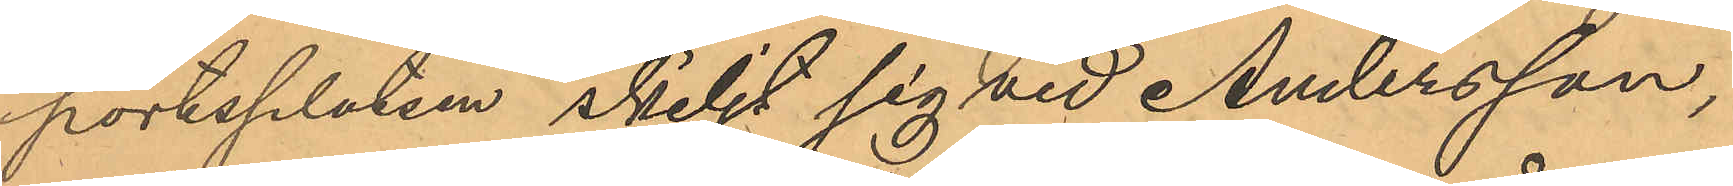portsplatsen skiljt sig vid Andersson,
